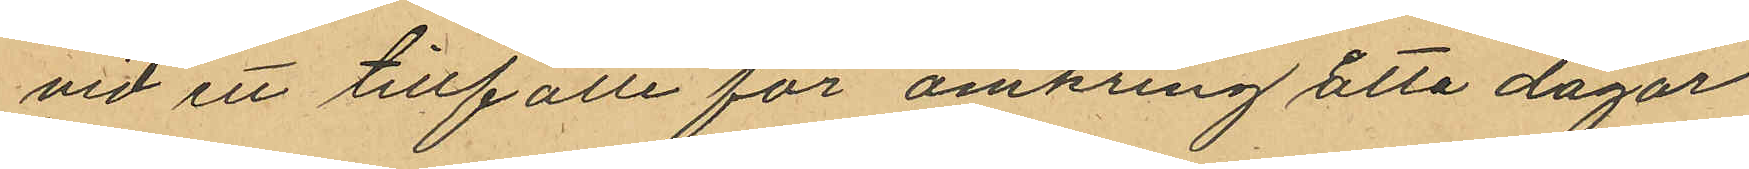vid ett tillfälle för omkring åtta dagar
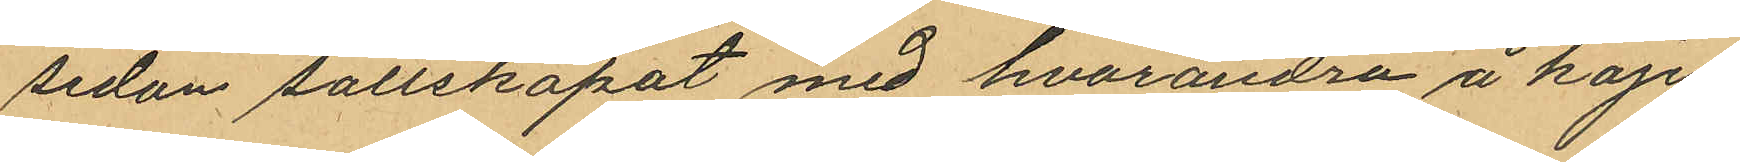sedan sallskapat med hvarandra å kajen
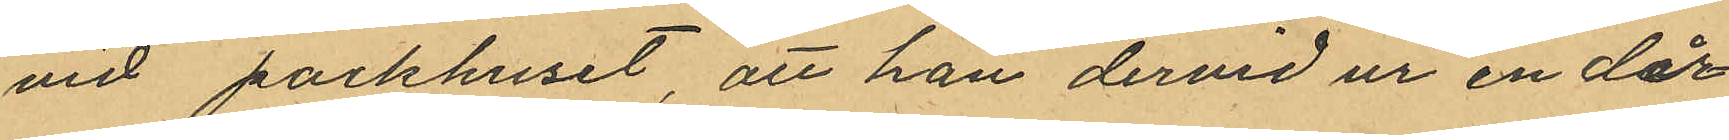vid packhuset, att han dervid ur en där
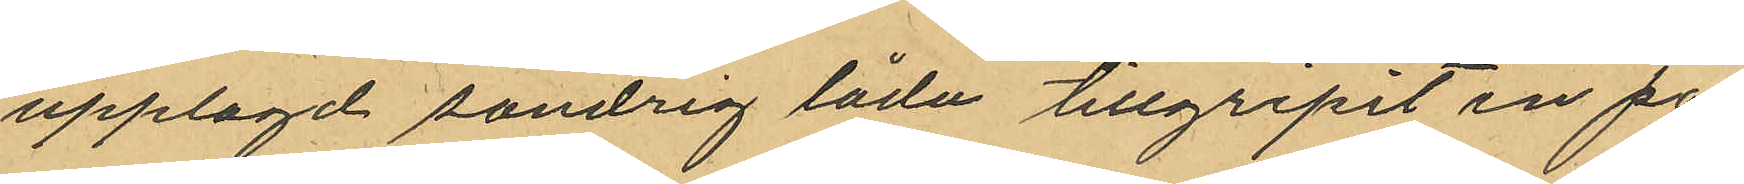upplagd söndrig låda tillgripit en pa¬
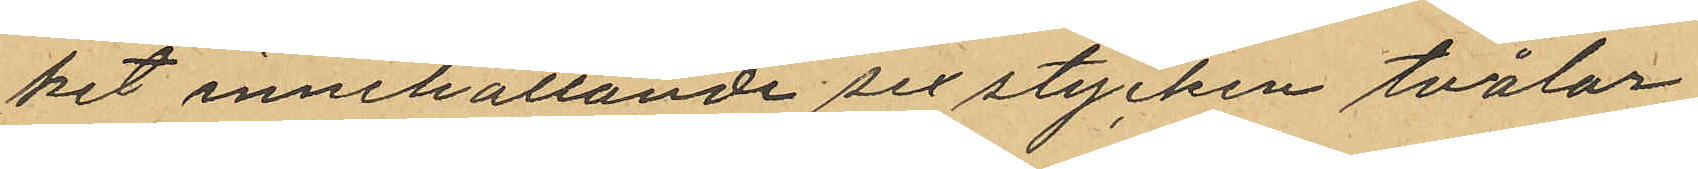ket innehållande sex stycken tvålar
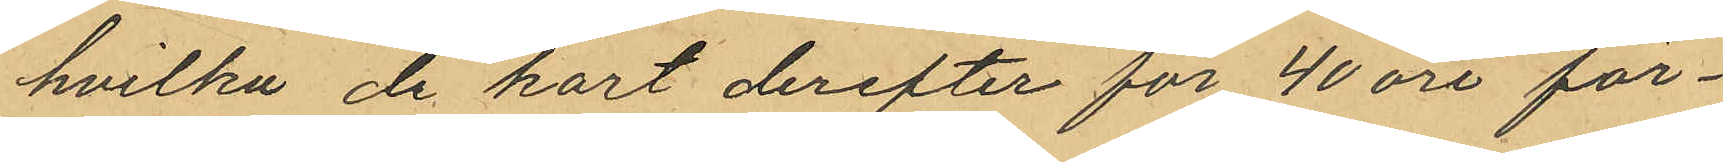hvilka de kort derefter för 40 öre för¬
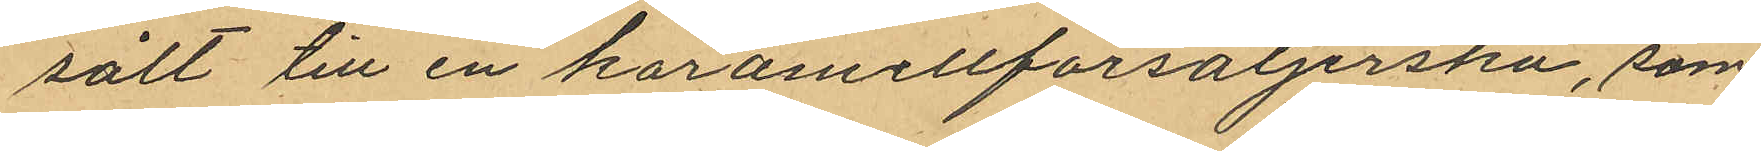sålt till en karamellförsäljerska, som
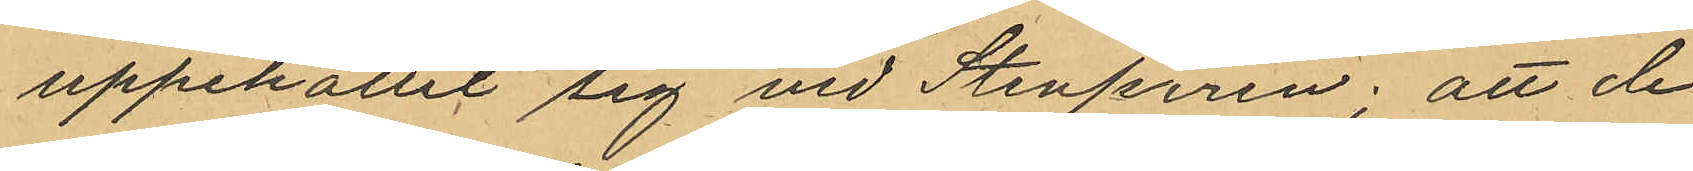uppehållit sig vid Stenpiren; att de
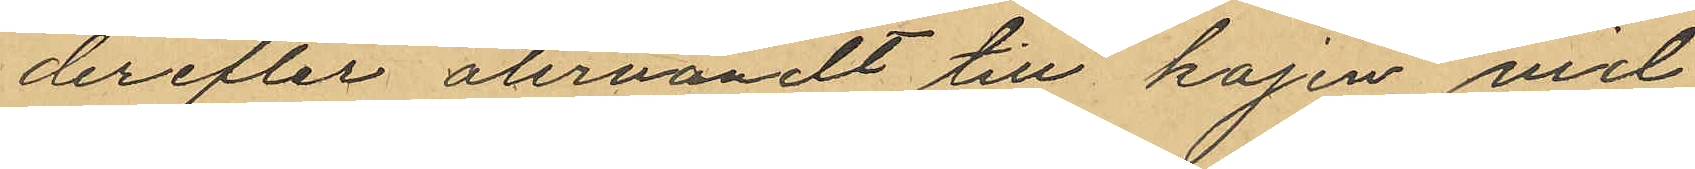derefter återvändt till kajen vid
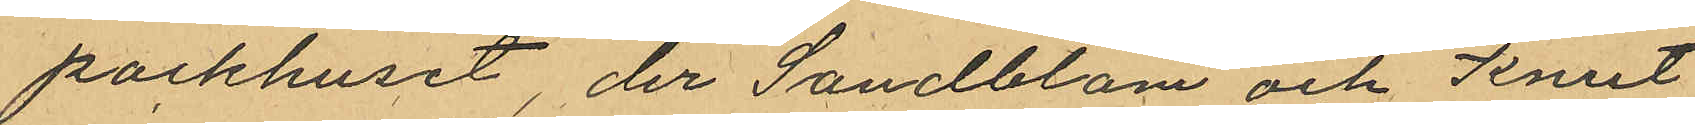packhuset, der Sandblom och Knut
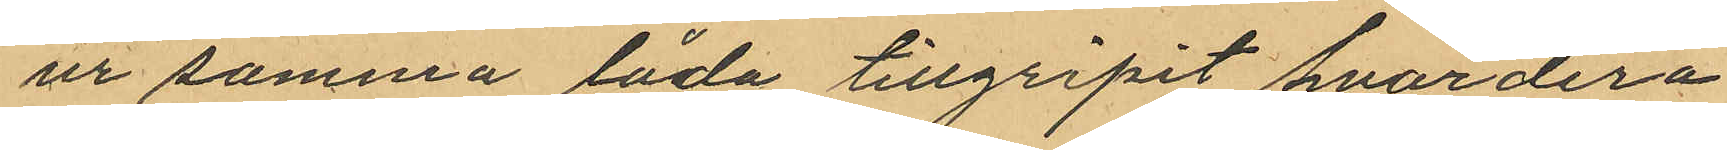ur samma låda tillgripit hvardera
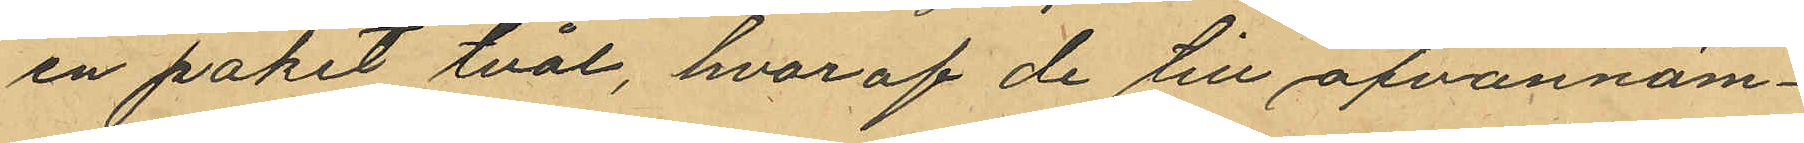en paket tvål, hvaraf de till ofvannäm¬
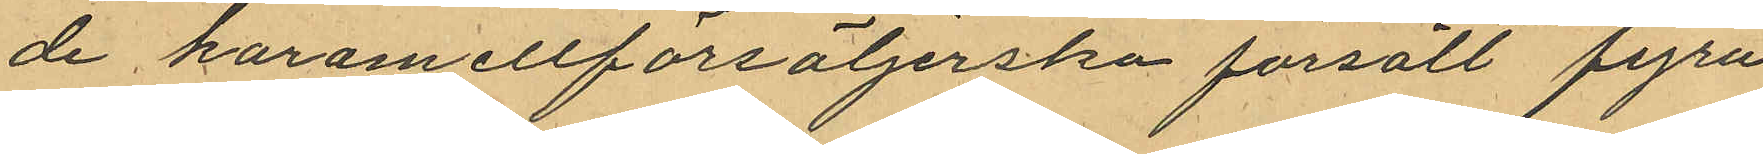de karamellförsäljerska försålt fyra
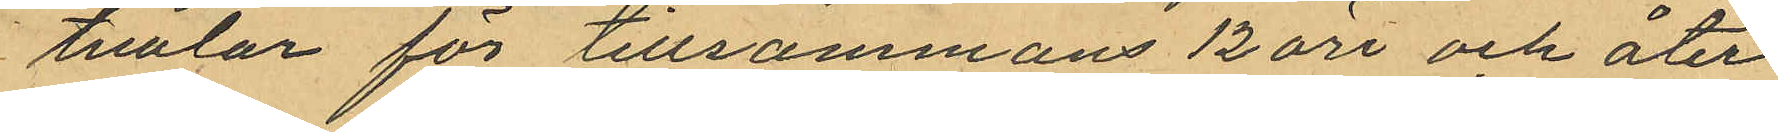tvålar för tillsammans 12 öre och åter
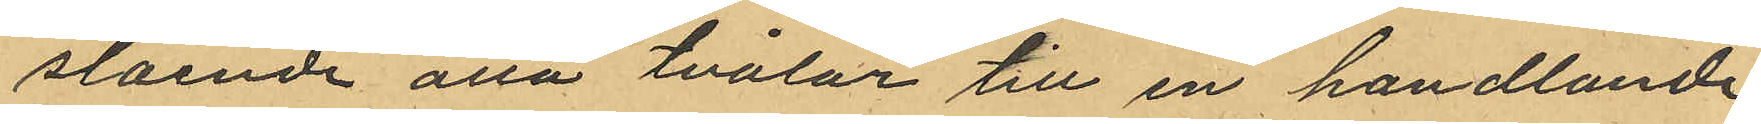stående åtta tvålar till en handlande
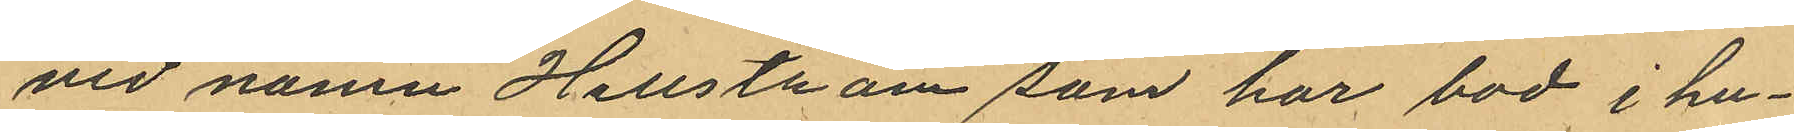vid namn Hellström som har bod i hu¬
